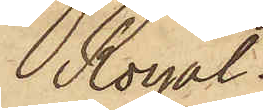Royal
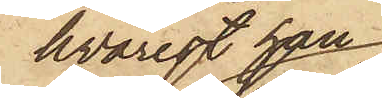hvarest han
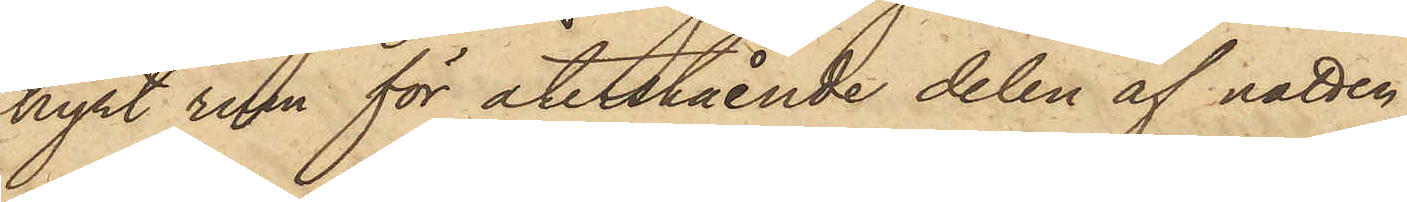hyrt rum för återstående delen af natten;
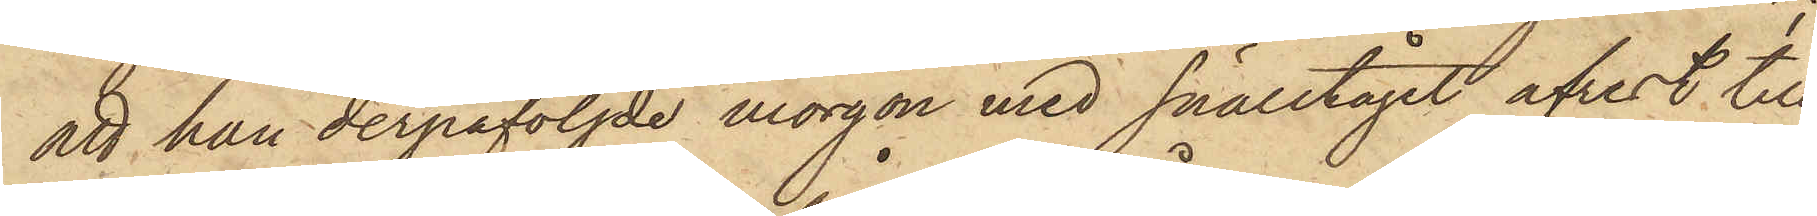att han derpåföljde morgon med snälltåget afrest till
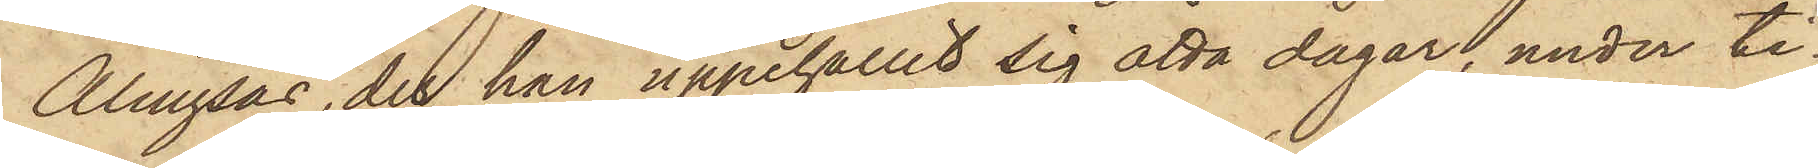Alingsås, der han uppehållit sig åtta dagar, under ti¬
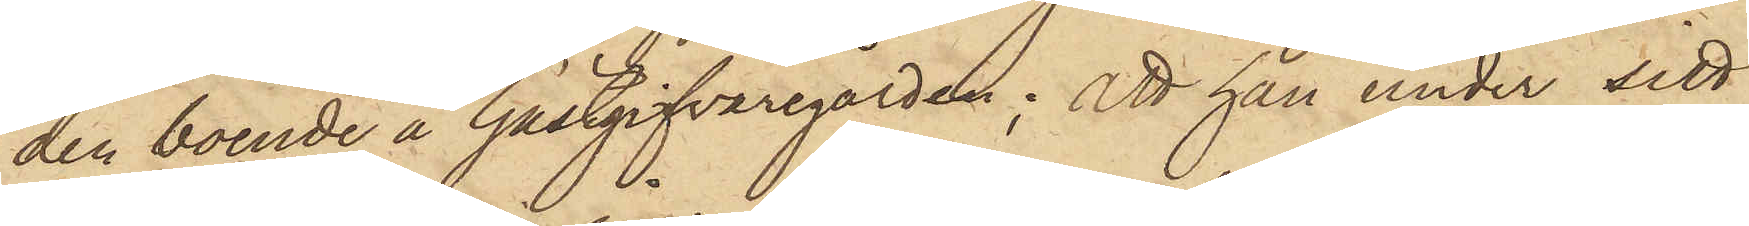den boende å Gästgifvaregården; att han under sitt
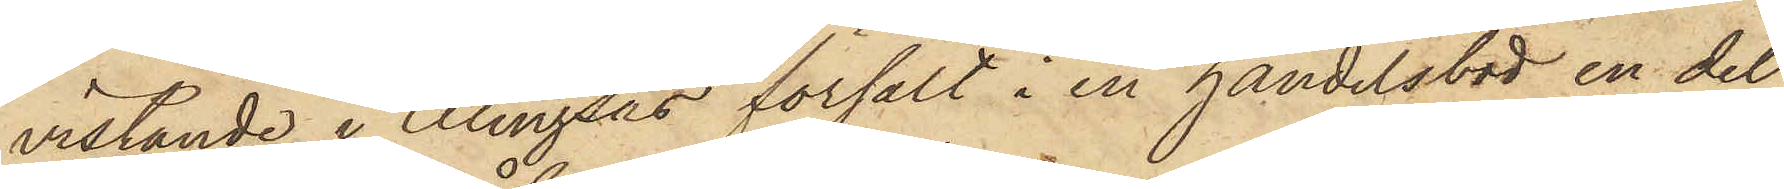vistande i Alingsås försålt i en handelsbod en del
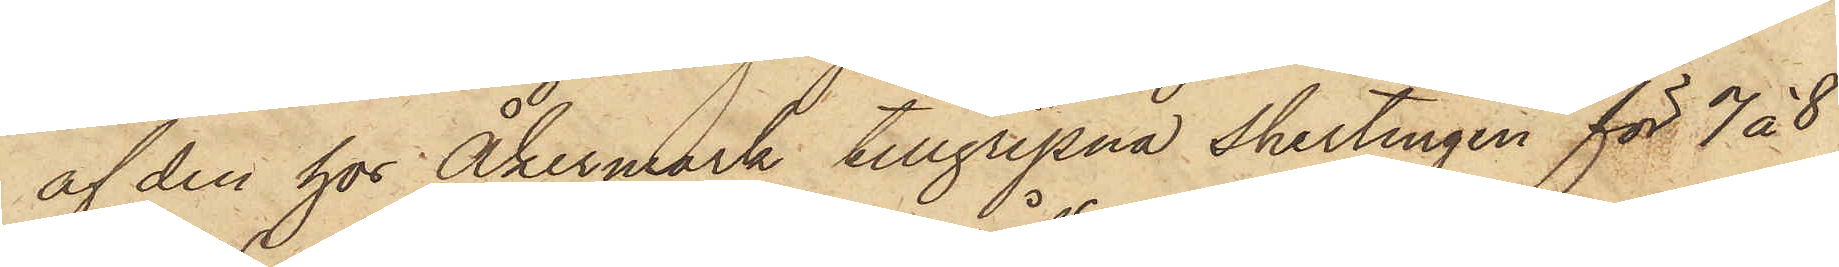af den hos Åkermark tillgripna shirtingen för 7 á 8
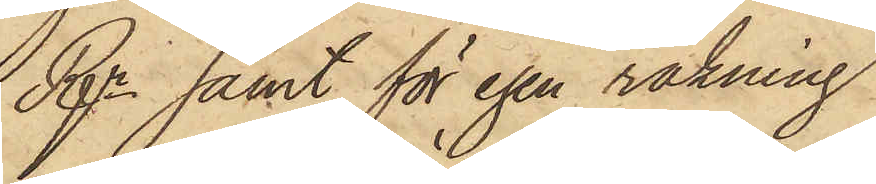Rgr samt för egen räkning
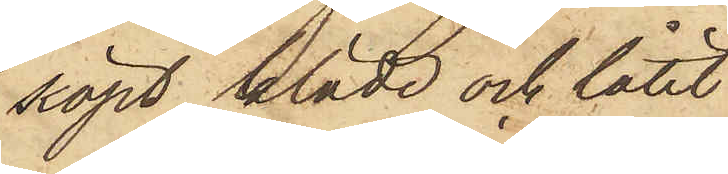köpt kläde och låtit
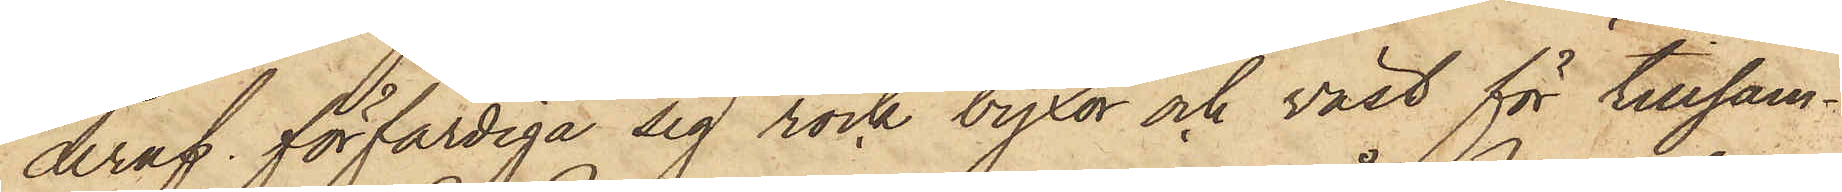deraf förfärdiga sig rock byxor och väst för tillsam¬
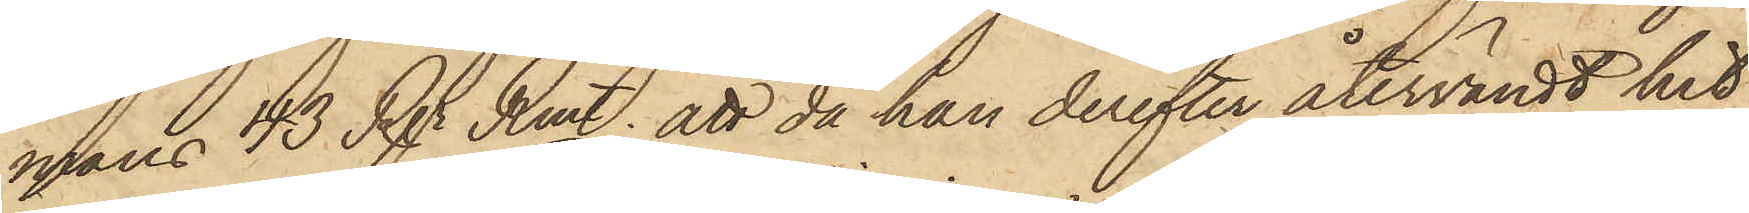mans 43 Rgr Rmt; att då han derefter återvändt hit
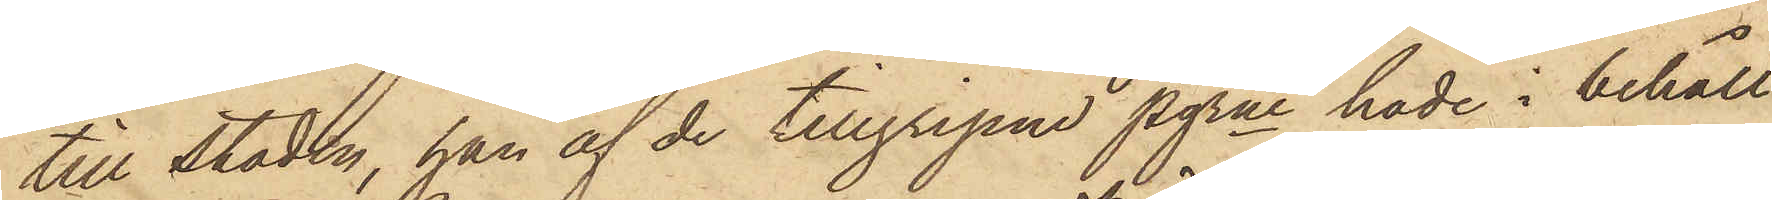till Staden, han af de tillgripne pgrne hade i behåll
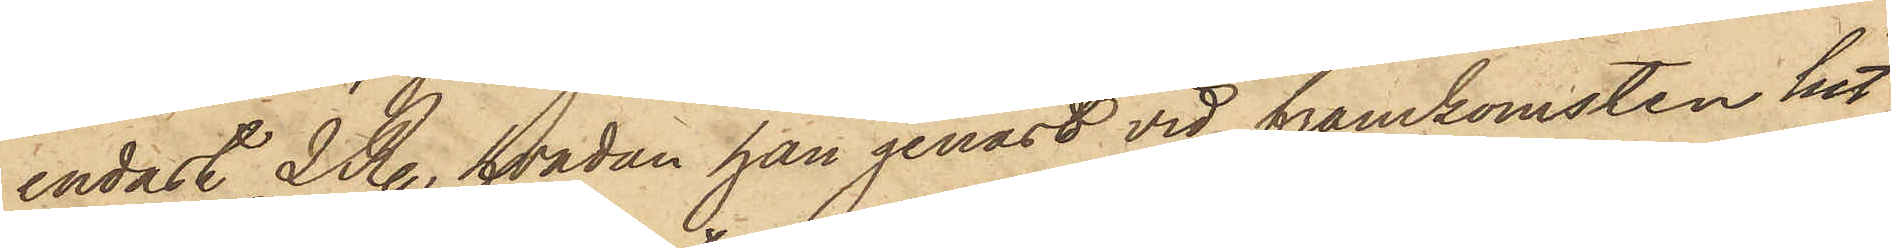endast 2 R., hvadan han genast vid framkomsten hit
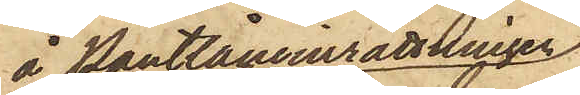å Pantlåneinrättningen
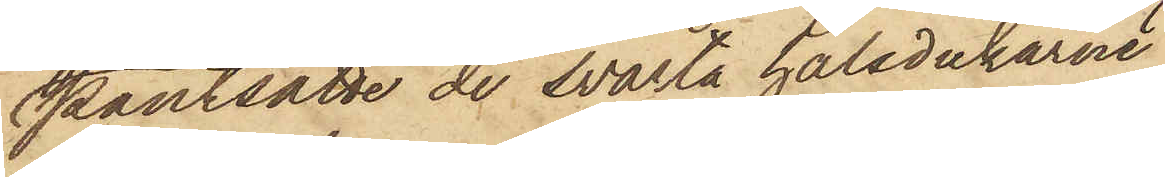pantsatte de svarta halsdukarne
